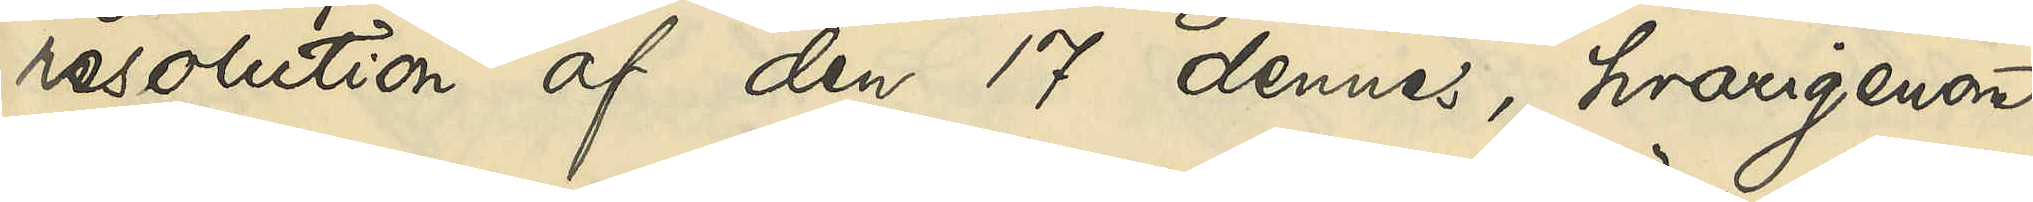resolution af den 17 dennes, hvarigenom
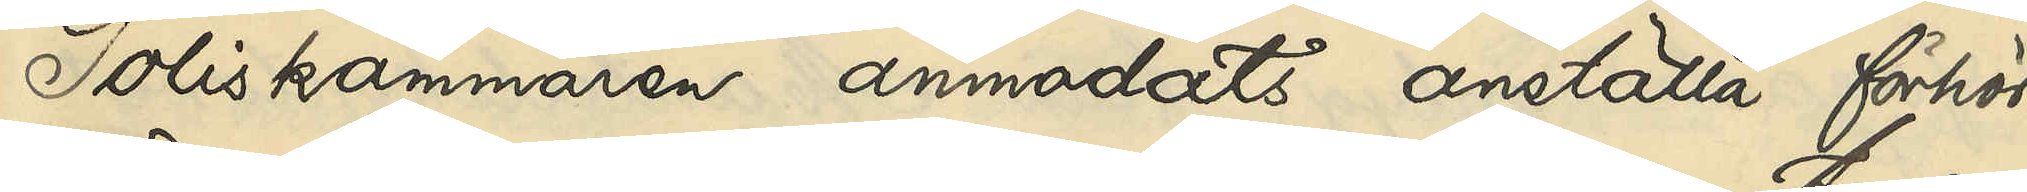Poliskammaren anmodats anställa förhör
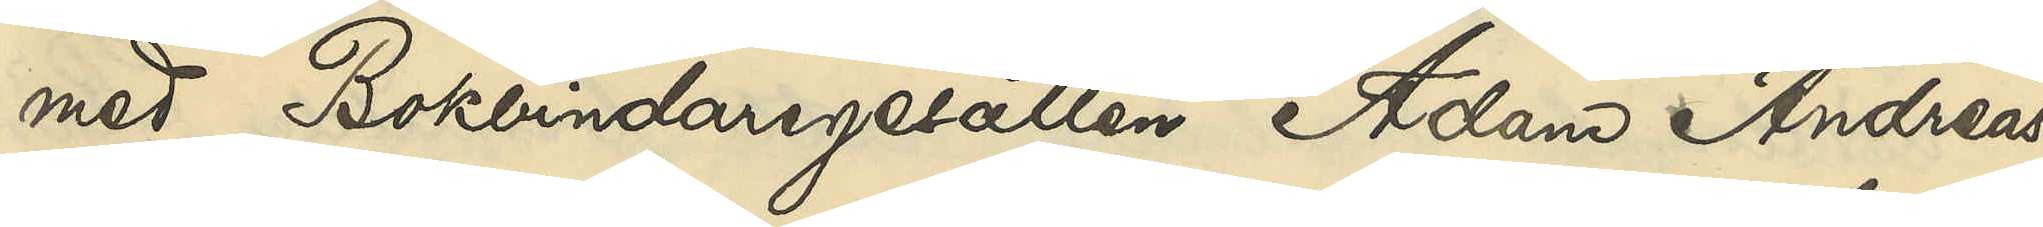med Bokbindaregesällen Adam Andreas
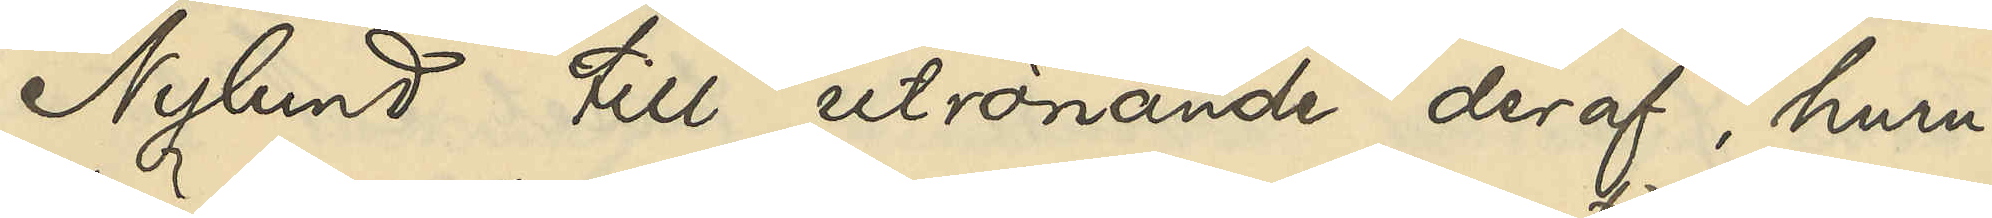Nylund till utrönande deraf, huru
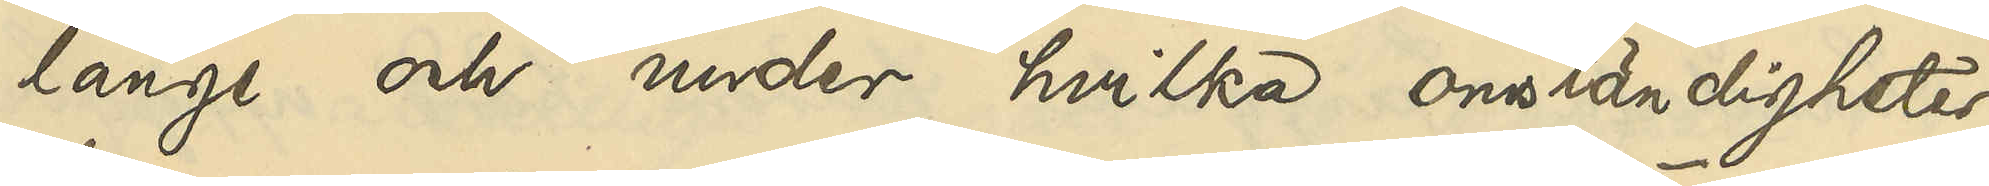länge och under hvilka omständigheter
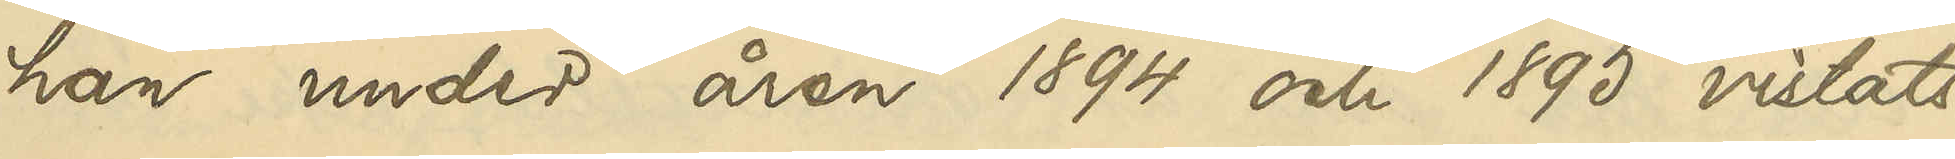han under åren 1894 och 1895 vistats
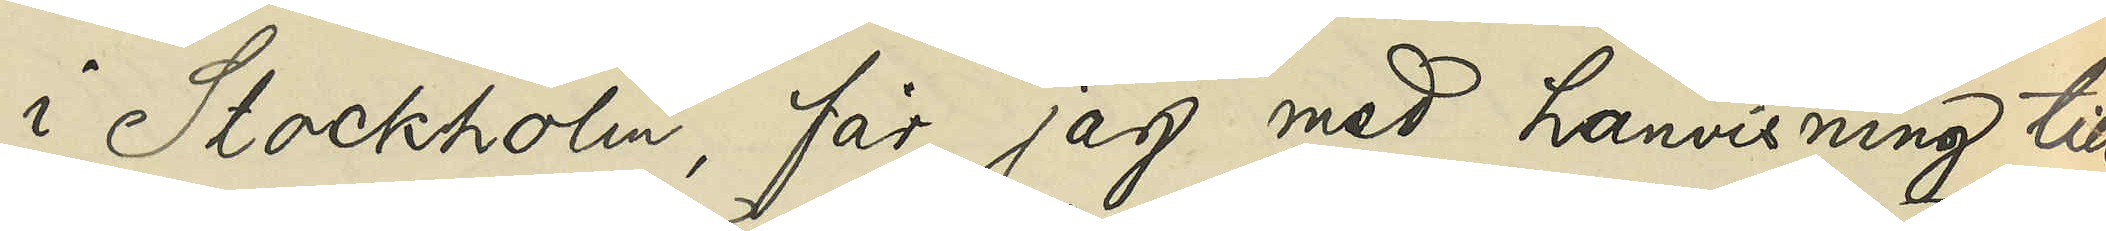i Stockholm, får jag med hänvisning till
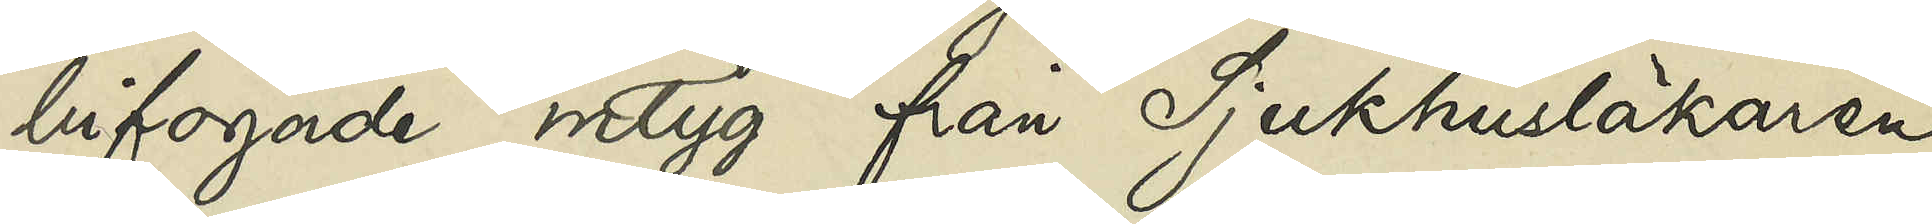bifogade intyg från Sjukhusläkaren
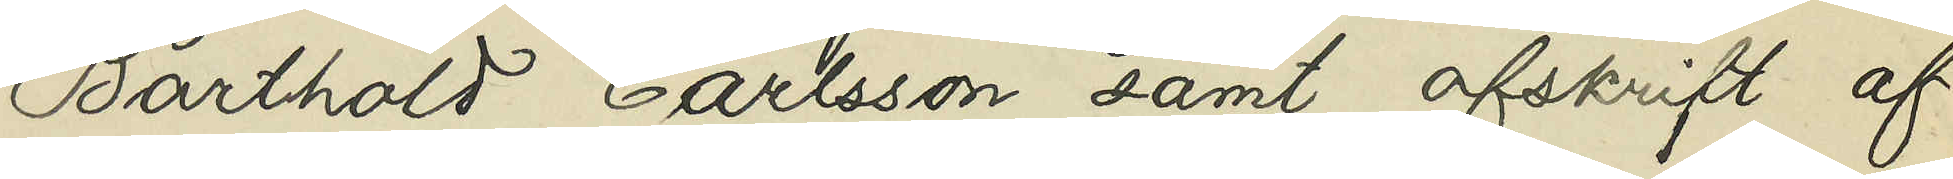Barthold Carlsson samt afskrift af
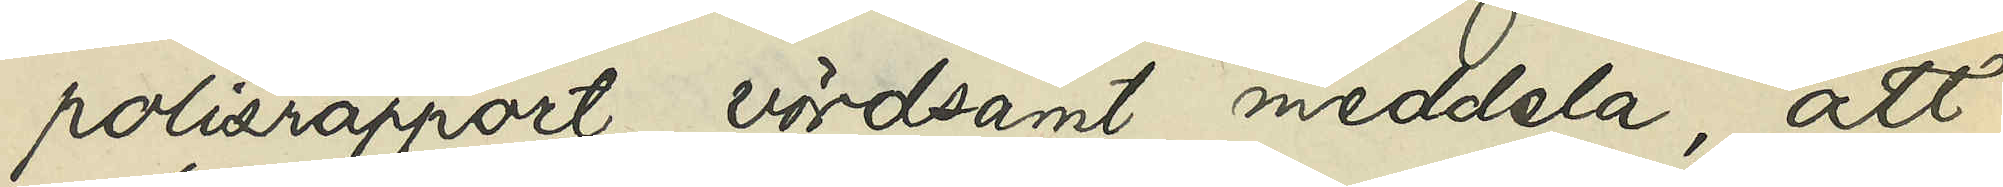polisrapport vördsamt meddela, att
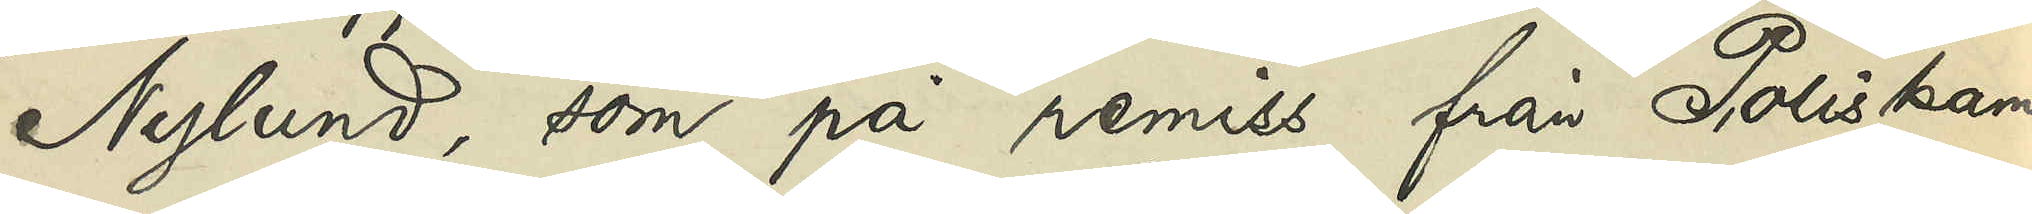Nylund, som på remiss från Poliskam¬
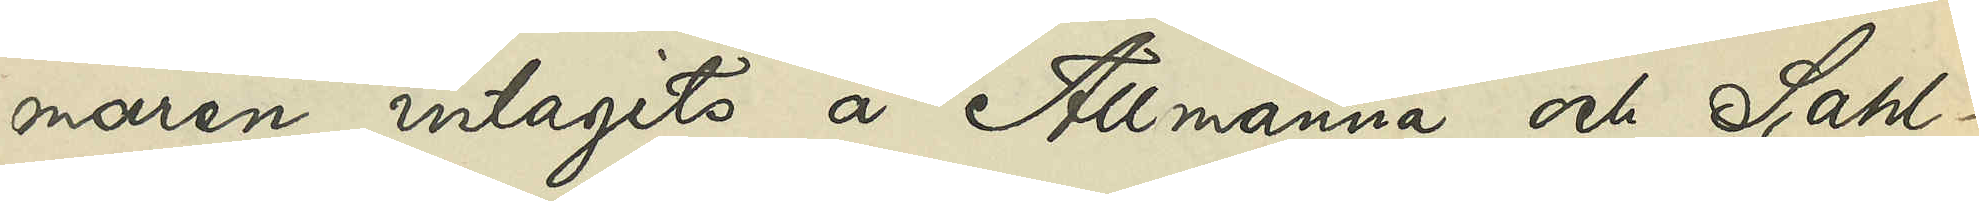maren intagits å Allmänna och Sahl¬
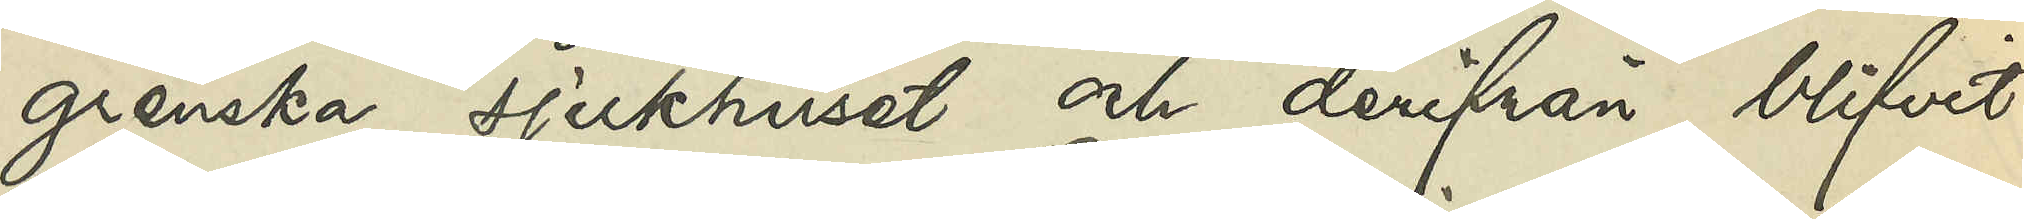grenska sjukhuset och derifrån blifvit
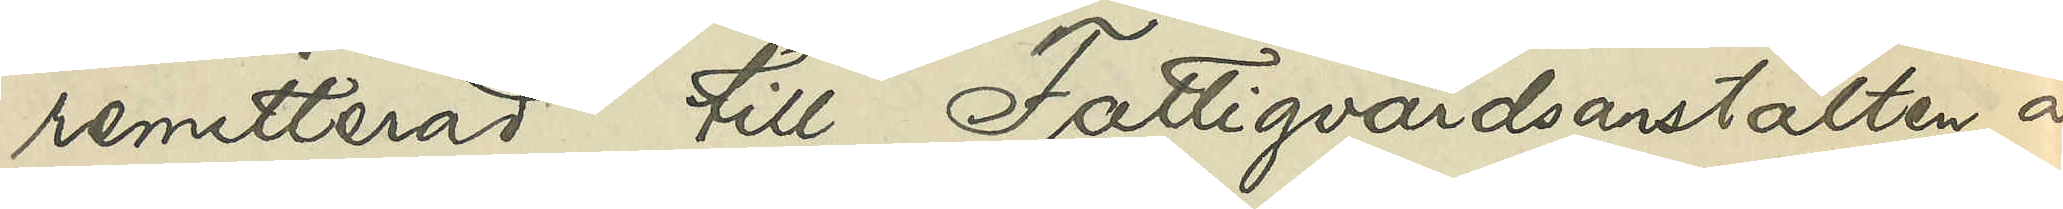remitterad till Fattigvårdsanstalten å
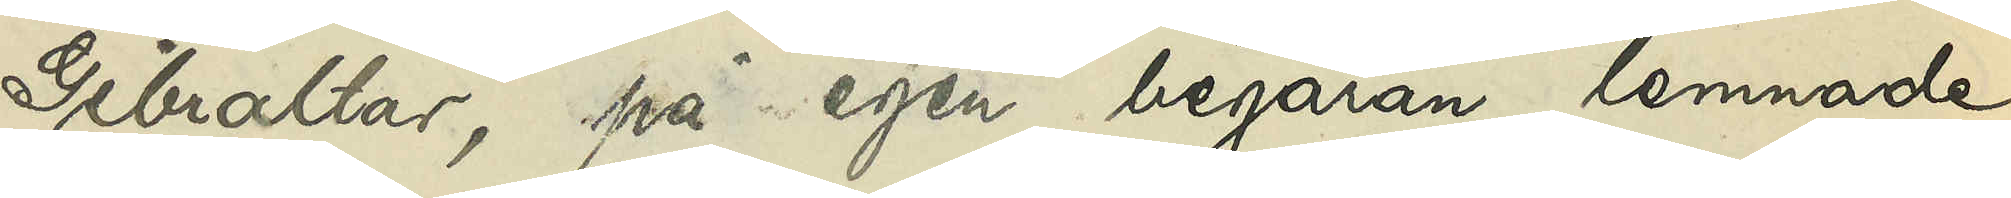Gibraltar, på egen begäran lemnade
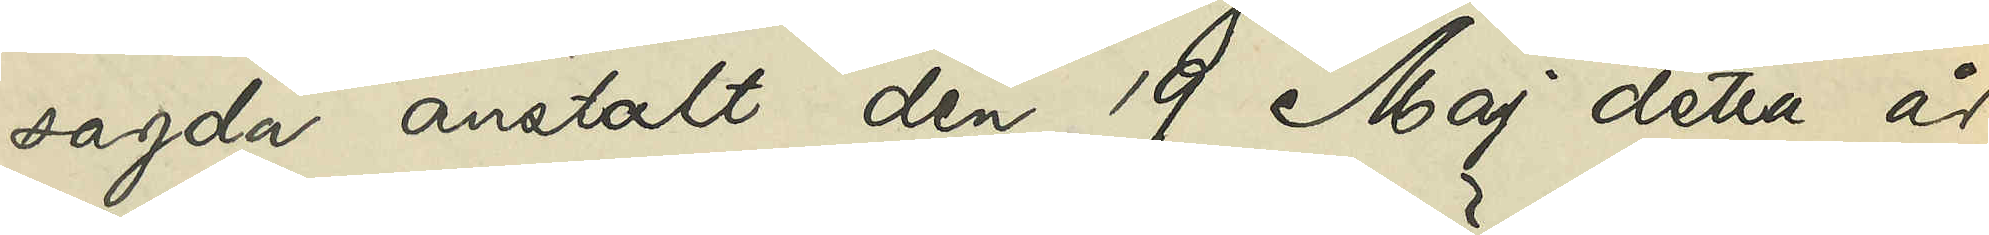sagda anstalt den 19 Maj detta år
